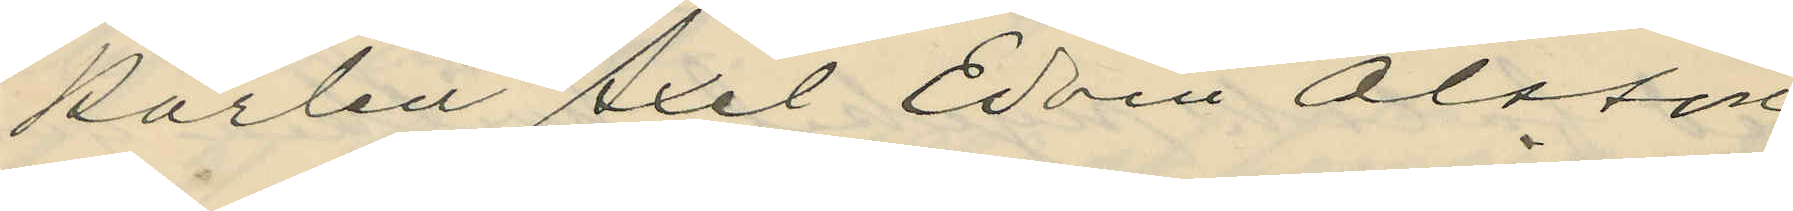karlen Axel Edvin Olsson;
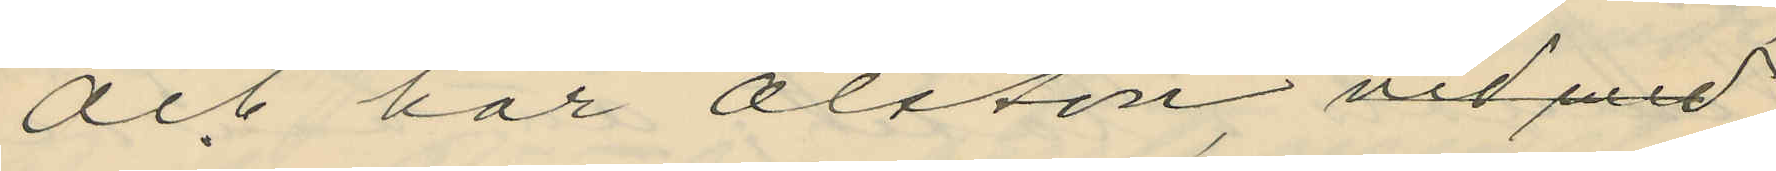och har Olsson, vid med
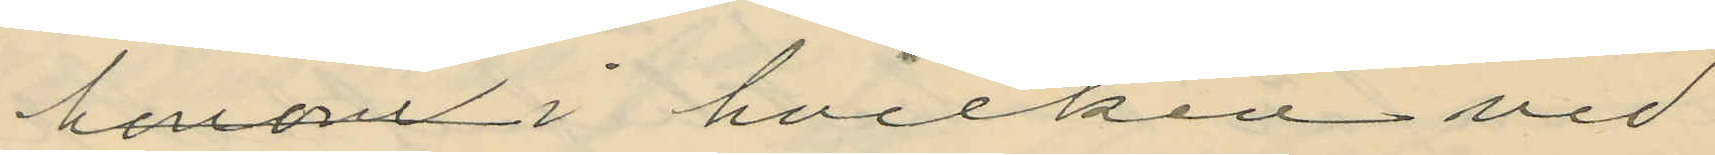honom i hvilken vid
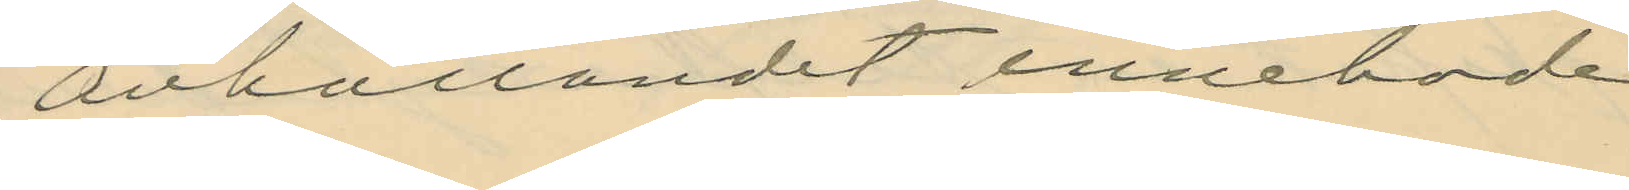anhållandet innehade
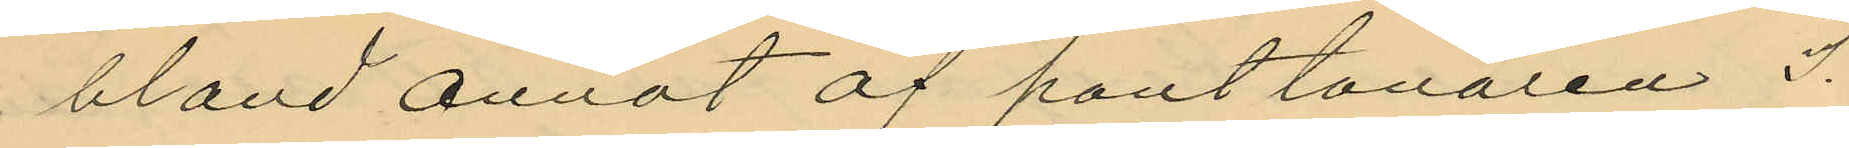bland annat af pantlånaren J.
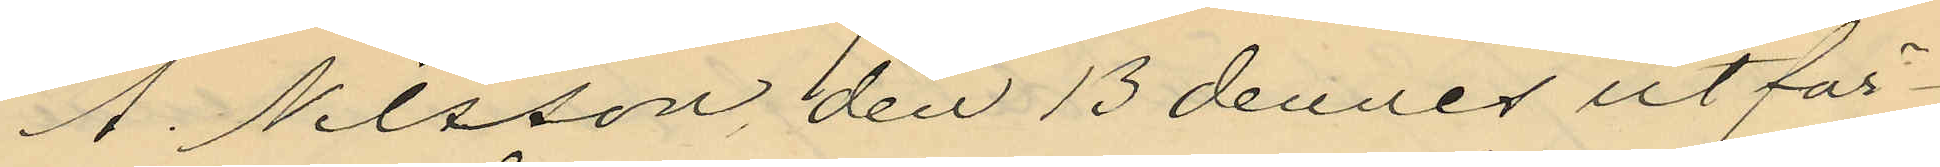A. Nilsson den 13 dennes utfär¬
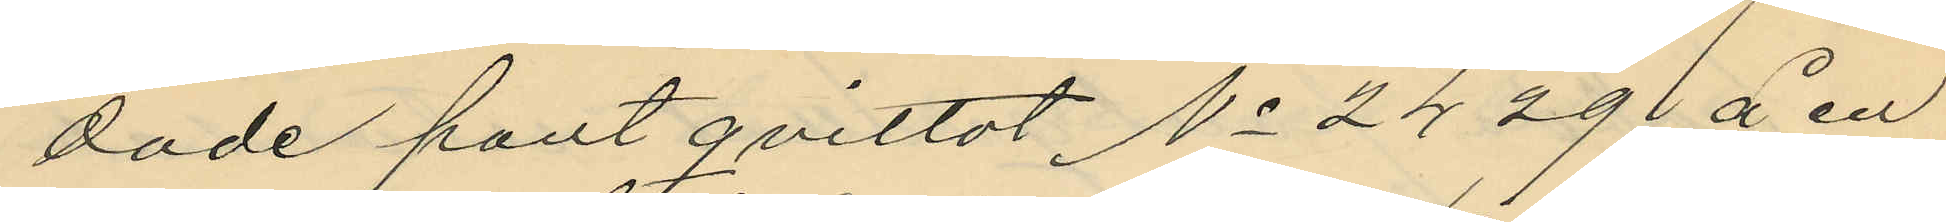dade pantqvittot No 2429 å en
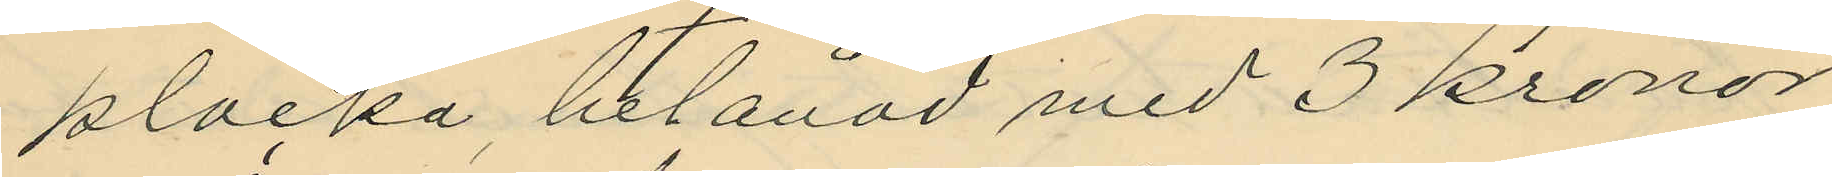klocka, belånad med 3 kronor
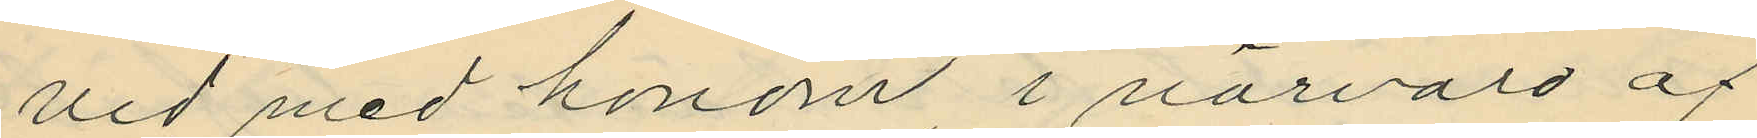vid med honom, i närvaro af
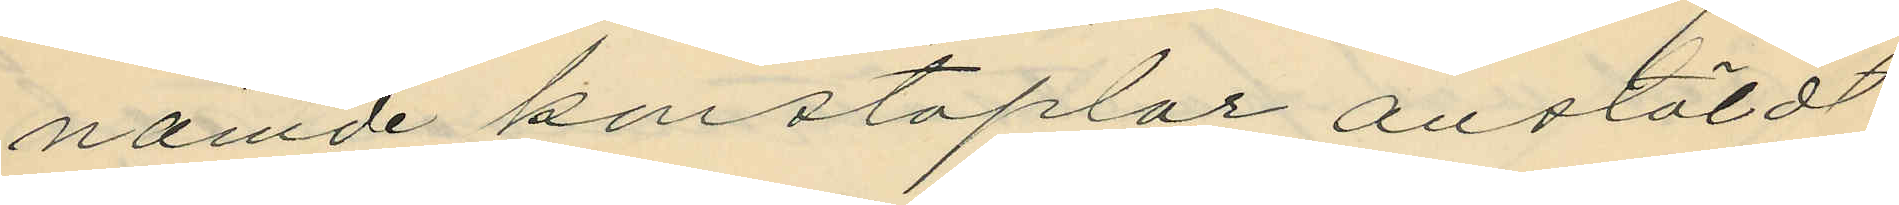nämde konstaplar anstäldt
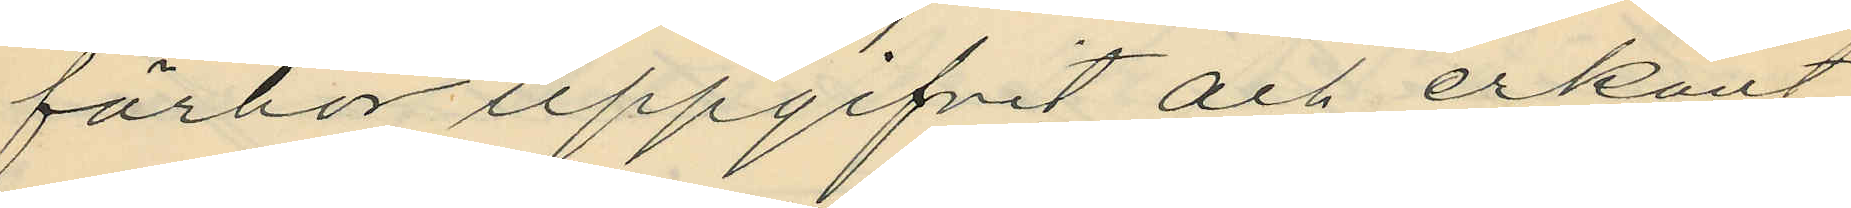förhör uppgifvit och erkänt
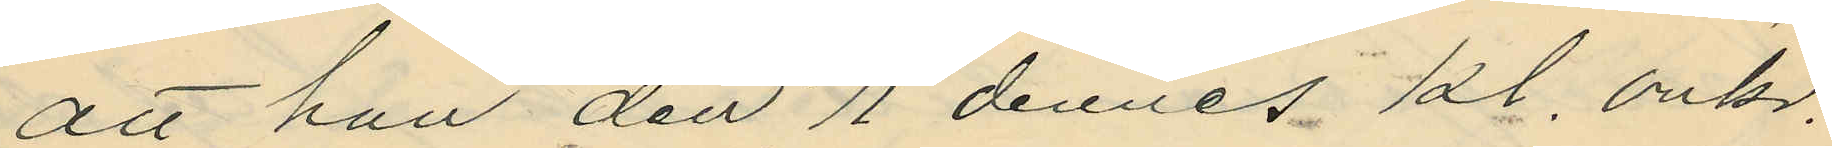att han den 11 dennes kl. omkr.
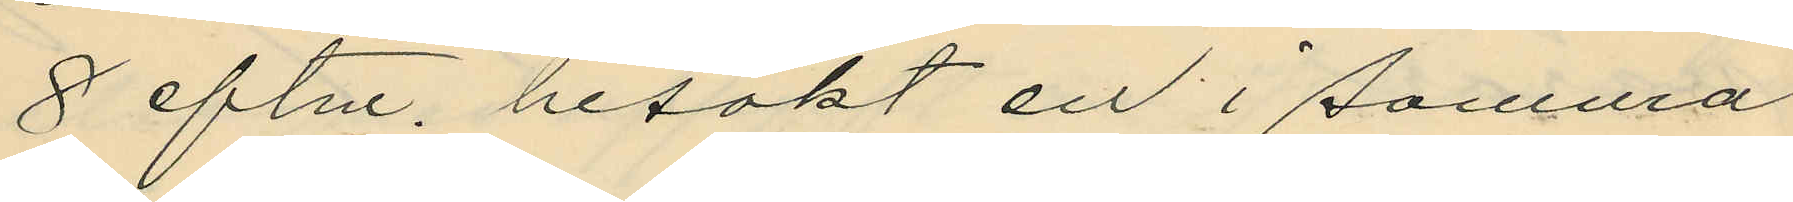8 eftm. besökt en i samma
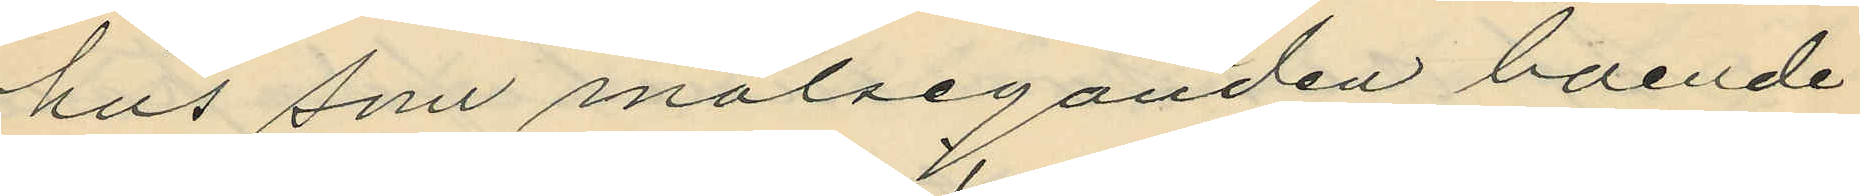hus som målseganden boende
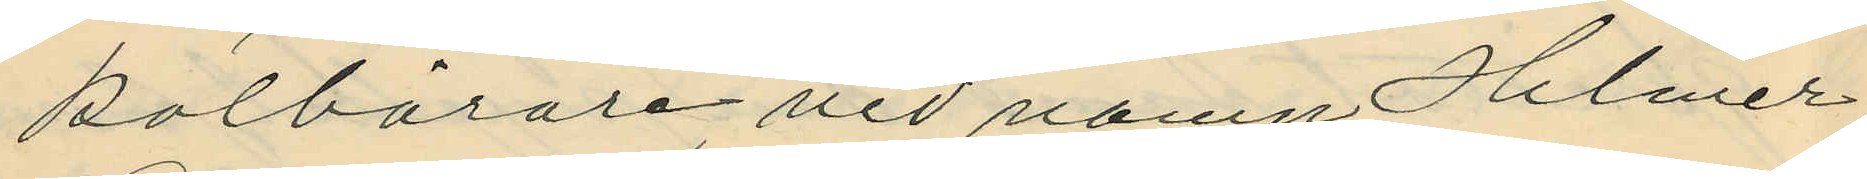kolbärare vid namn Hilmer
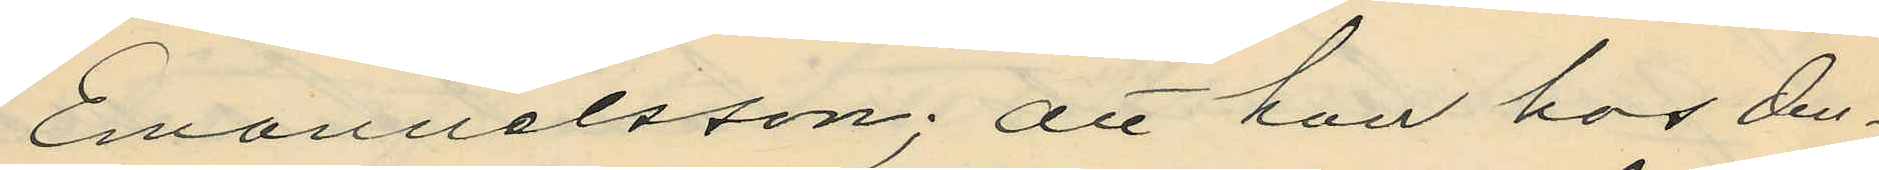Emanuelsson; att han hos den¬
